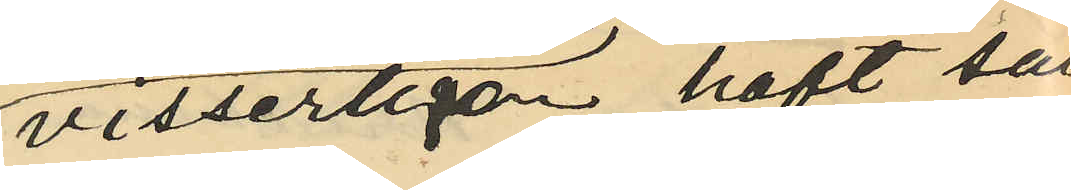visserligen haft säll¬
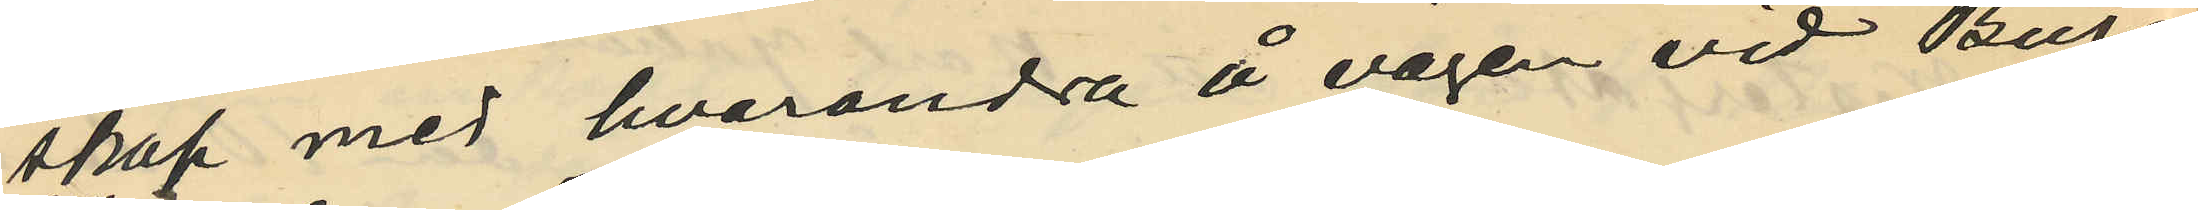skap med hvarandra å vägen vid Burås
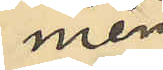men
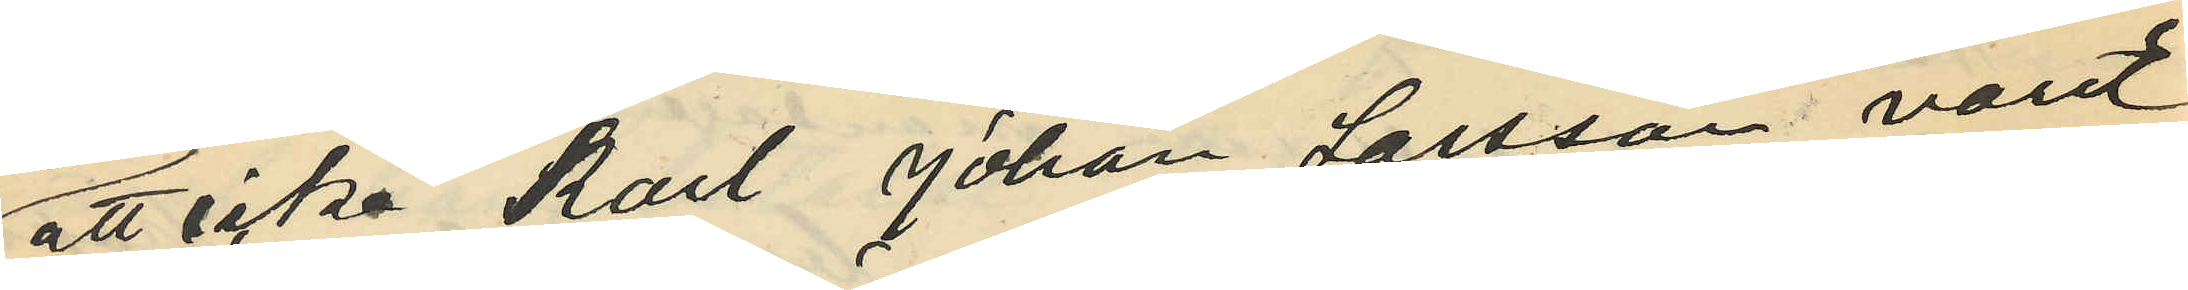att icke Karl Johan Larsson varit
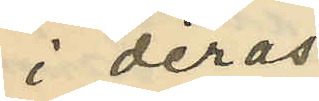i deras
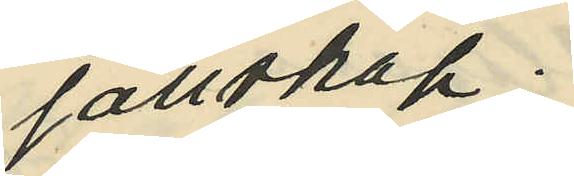sällskap;
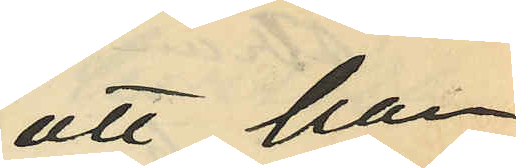att han
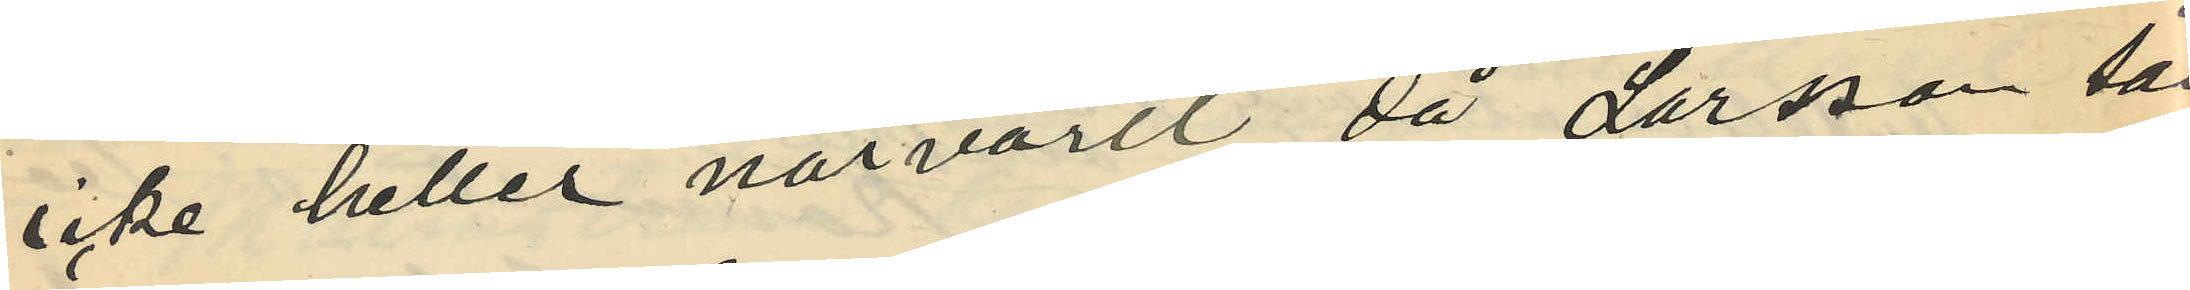icke heller närvarit då Larsson sålt
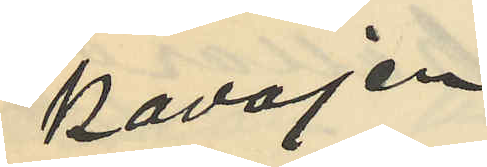kavajen
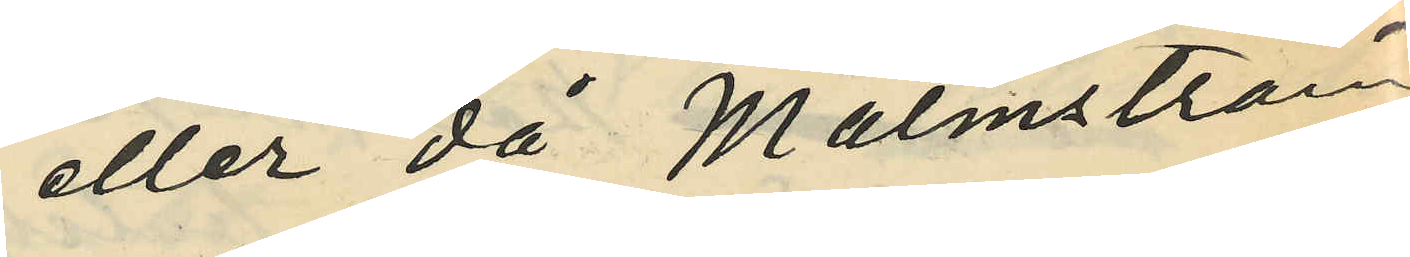eller då Malmström
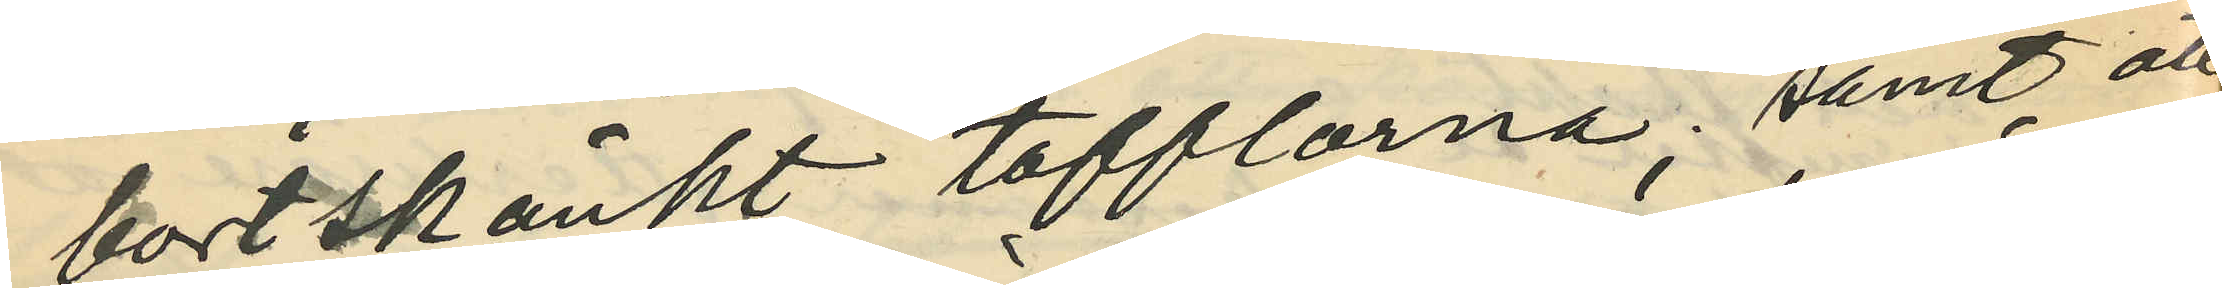bortskänkt tofflorna; samt att
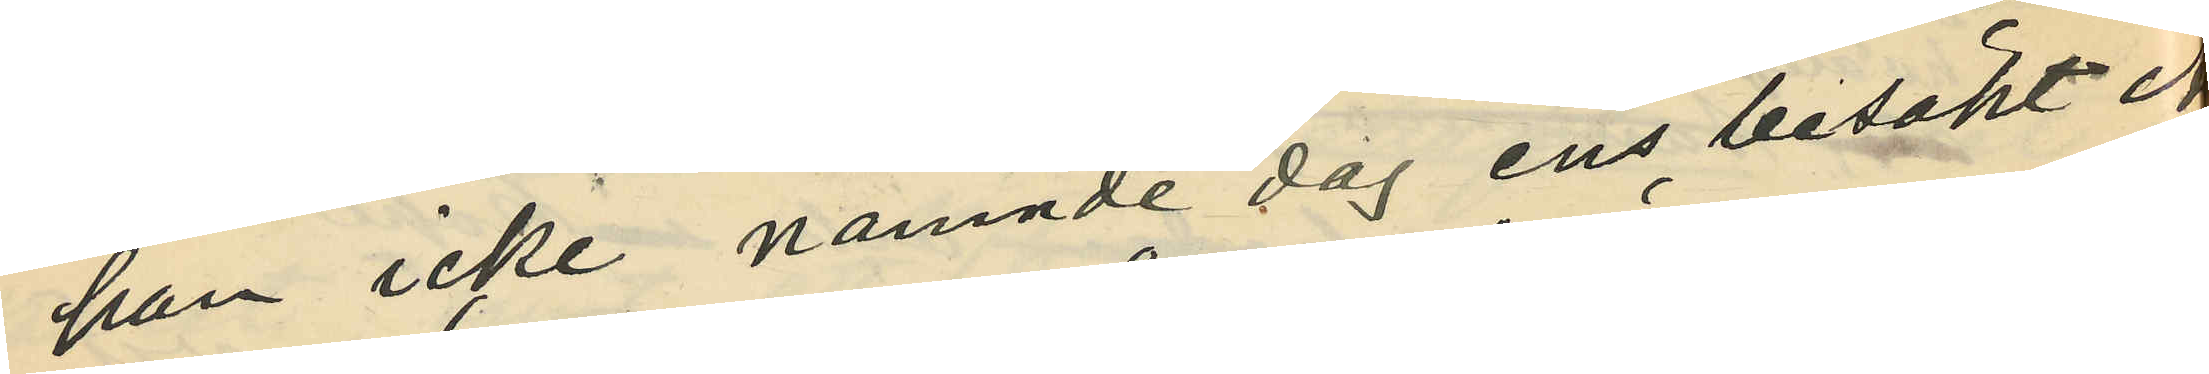han icke nämnde dag ens besökt An¬
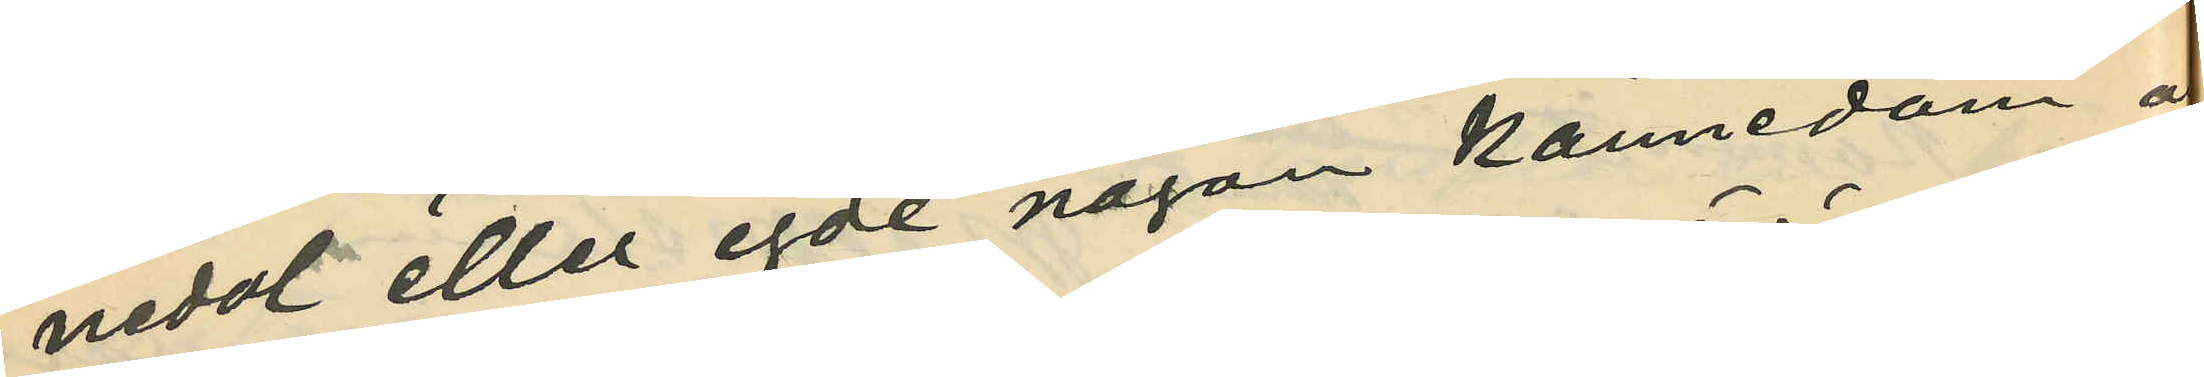nedal eller egde någon kännedom om
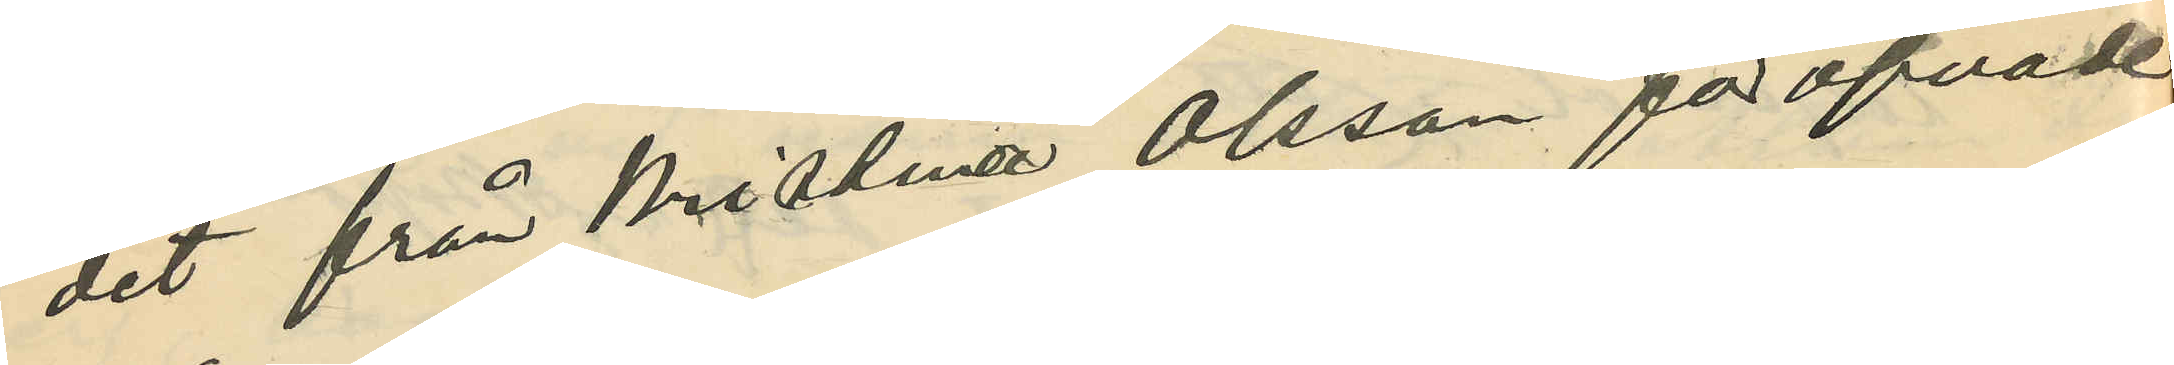det från Kristina Olsson föröfvade
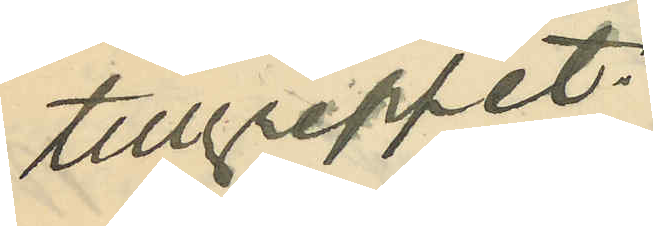tillgreppet.
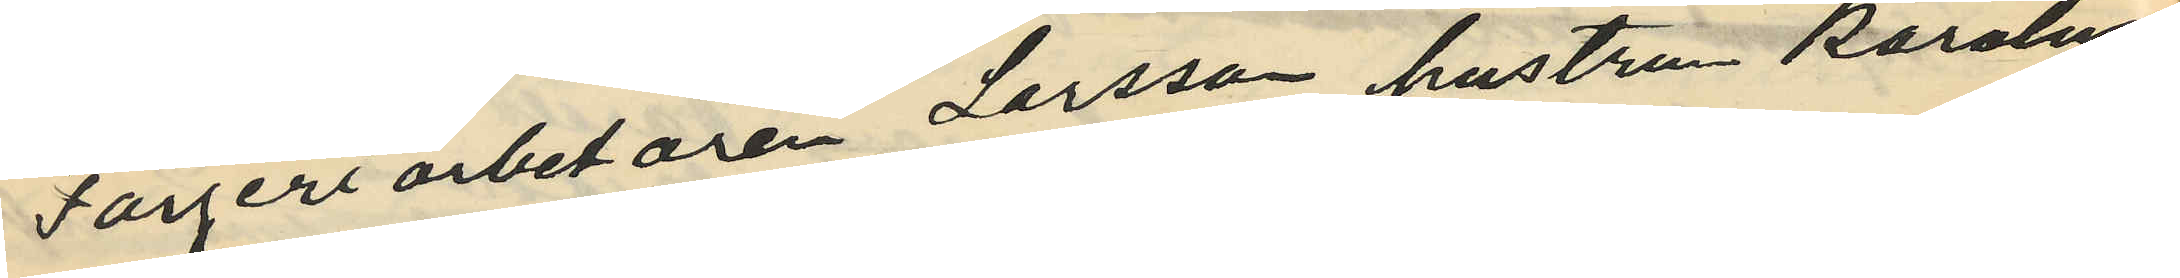Färgeriarbetaren Larsson, hustrun Karolina
